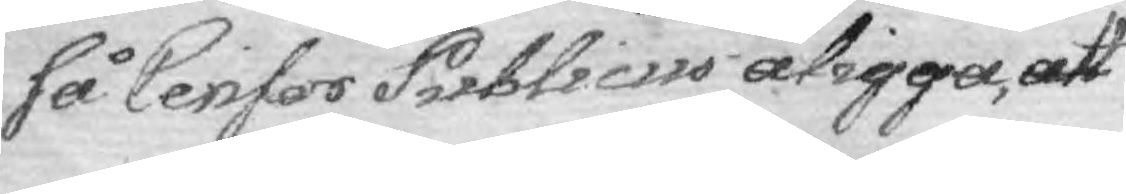så Censor Publicus åligga, att
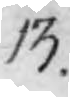13.
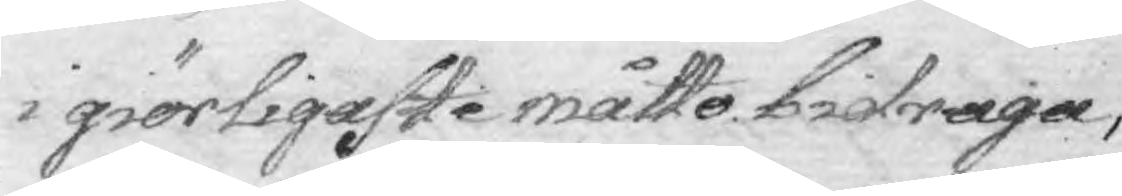i giörligaste måttp bidraga,
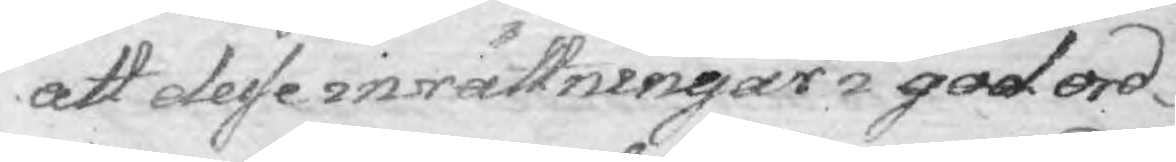att dese inrättningar i god ord¬
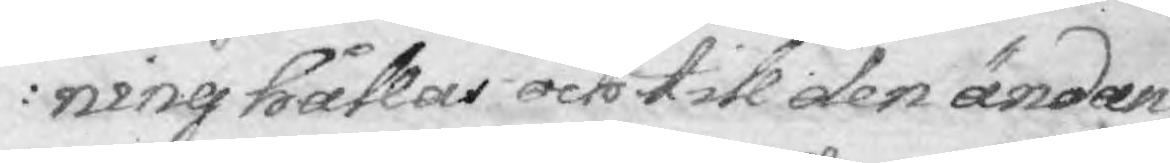ning hållas och till den änden
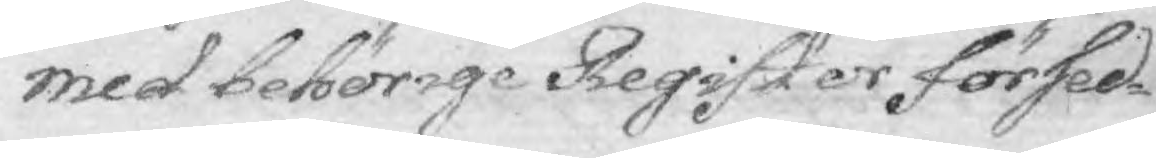med bebörige Register försed¬
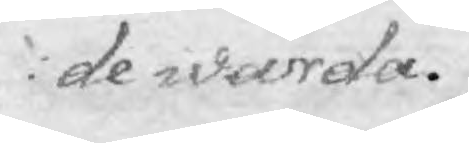de warda.
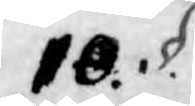10. §.
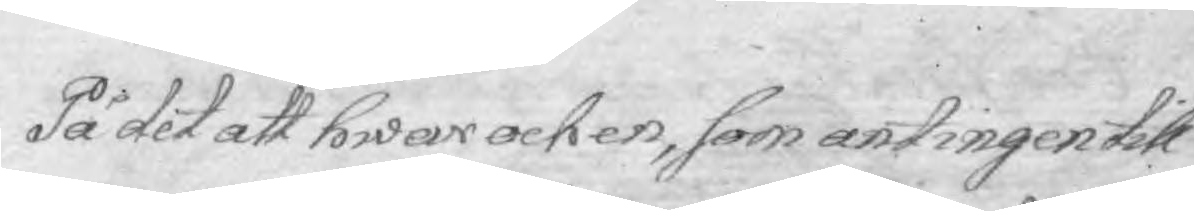På det att hwar och en, som antingen till
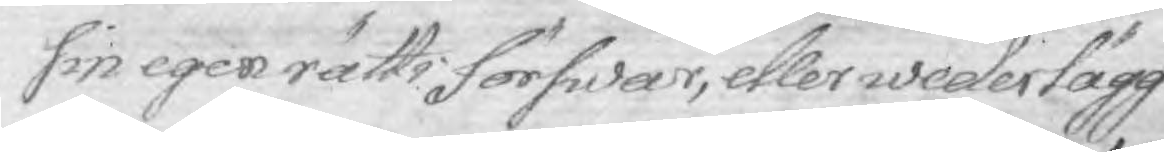sin egen rätts förswar, eller wederlägg¬
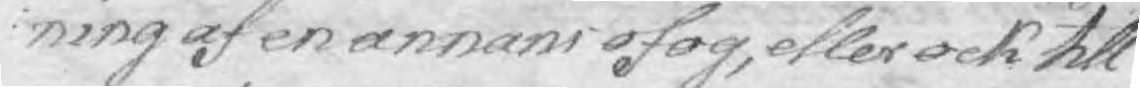ning af en annans ofog, eller ock till
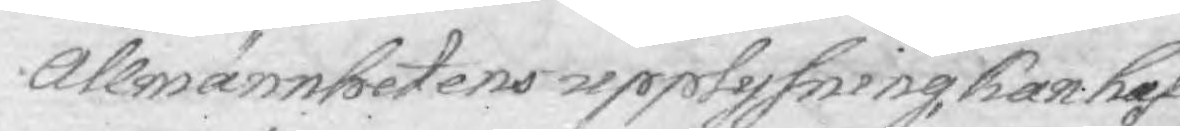Allmänhetens upplysning, kan haf¬
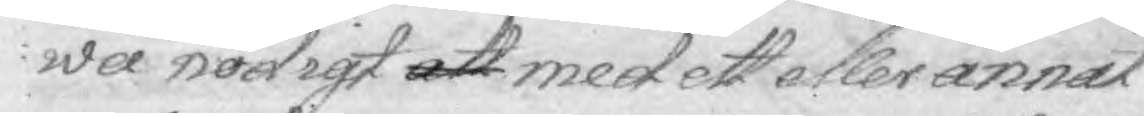wa nödigt att med ett eller annat
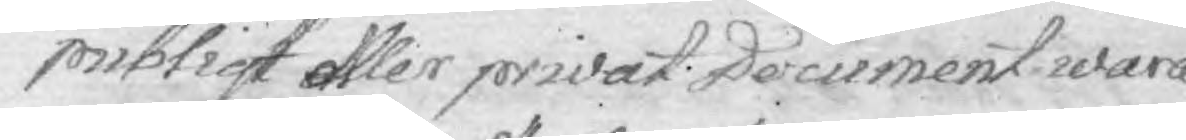publiqt eller privat Document. wara
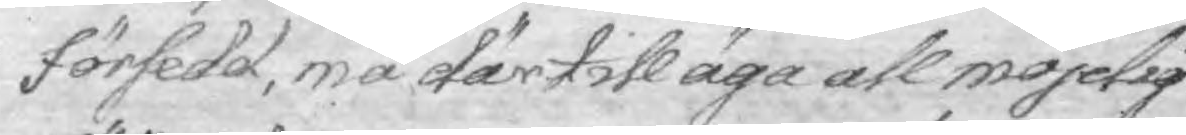försedd, må härtill äga all möjelig
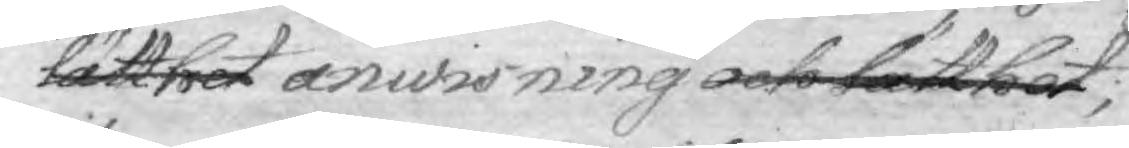lätthet anwisning och lätthet;
